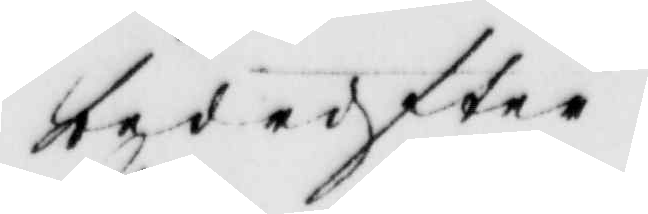bedrifter.
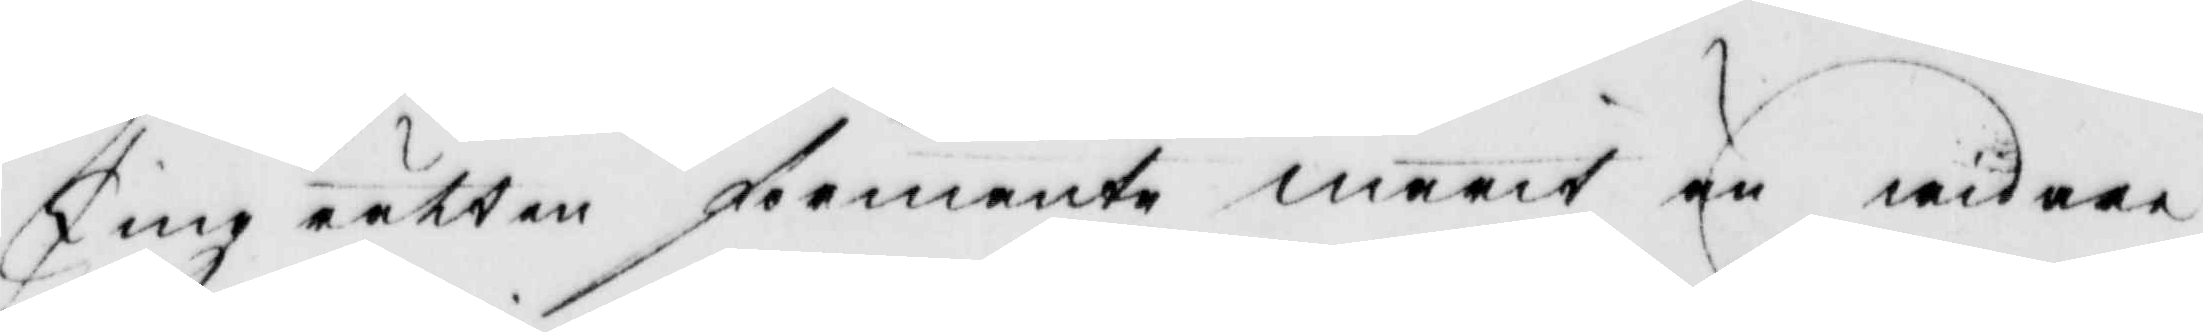Tingrätten förmante marit än widare
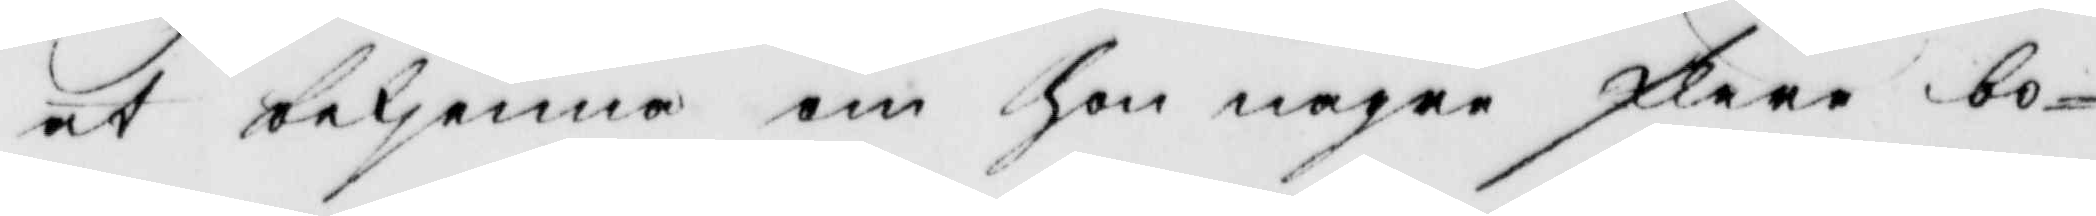at bekjenna om hon någre flere bo¬
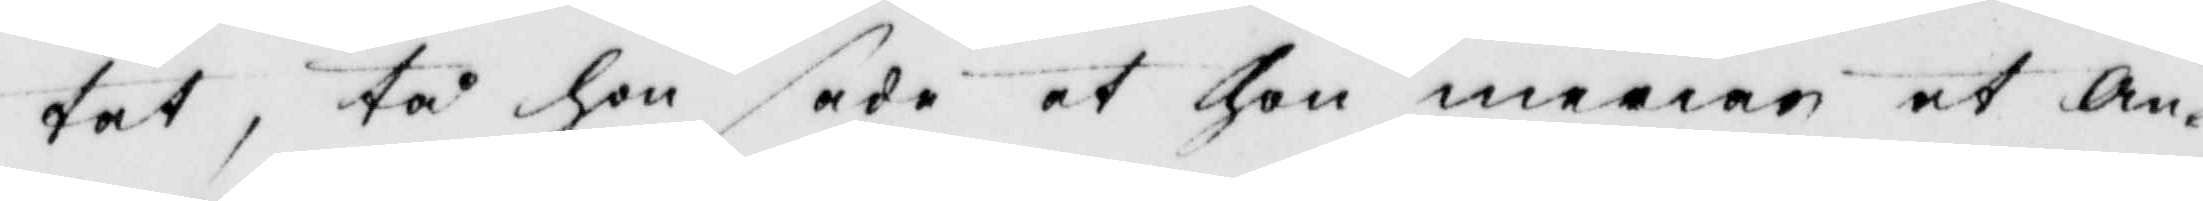tat, tå hon sade at hon menar at an¬
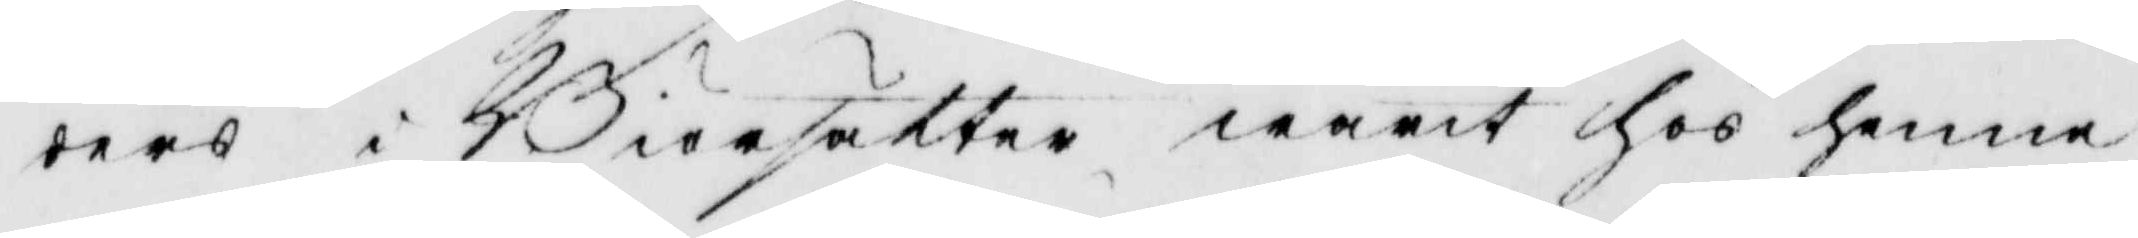ders i Birsätter warit hos henne
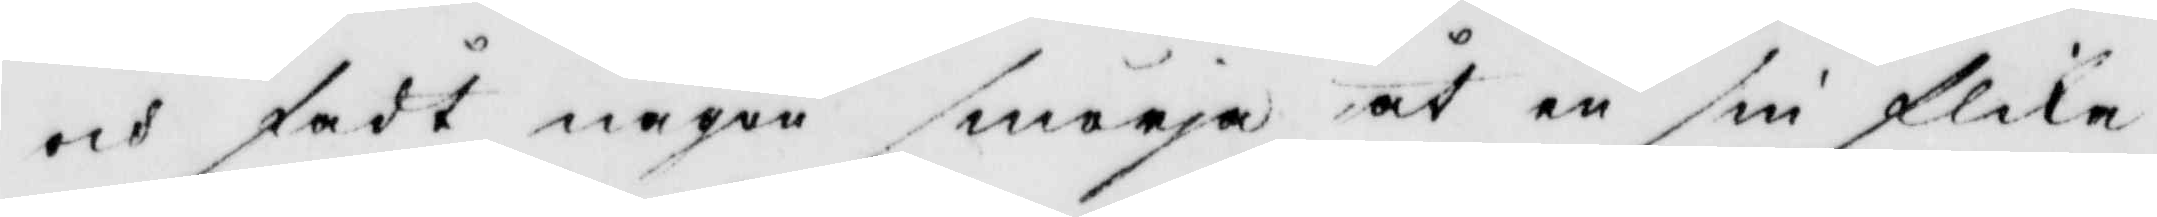och  fådt någen smörja åt en sin flika
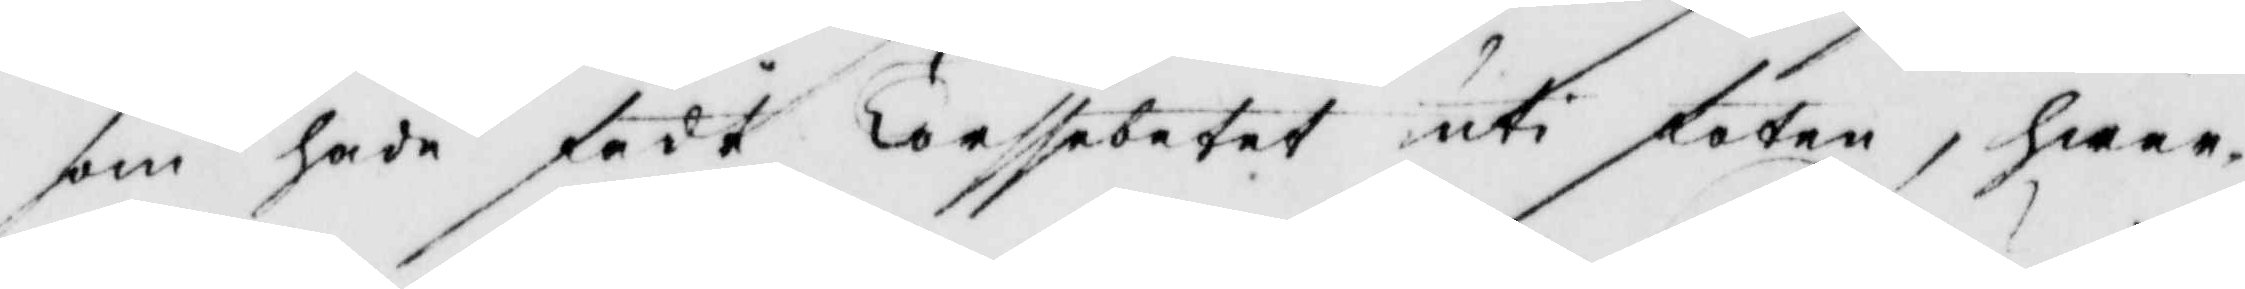som hade fådt Terssebetet uti foten, hwar¬
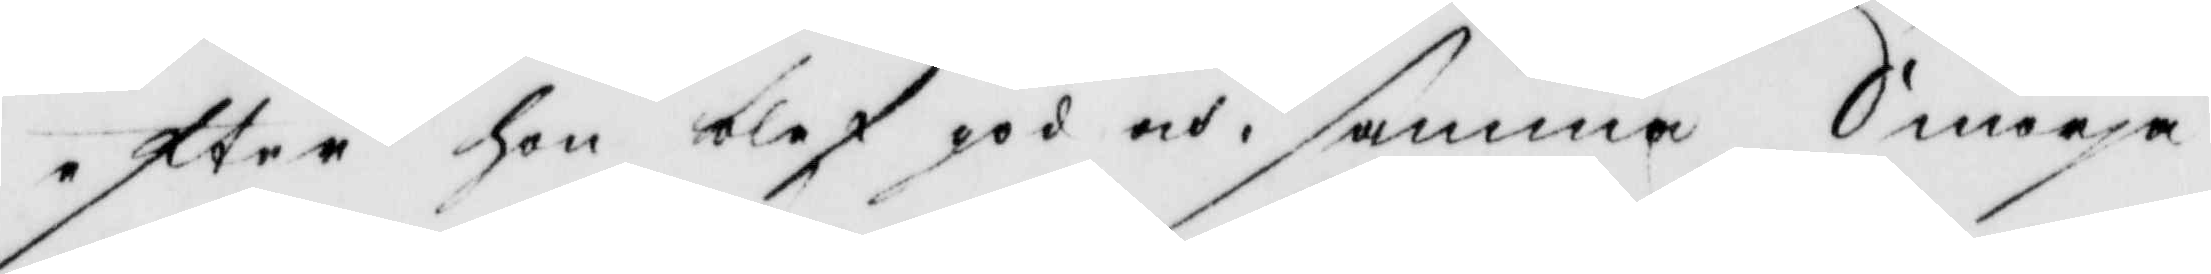efter hon blef god och i samma Smörja
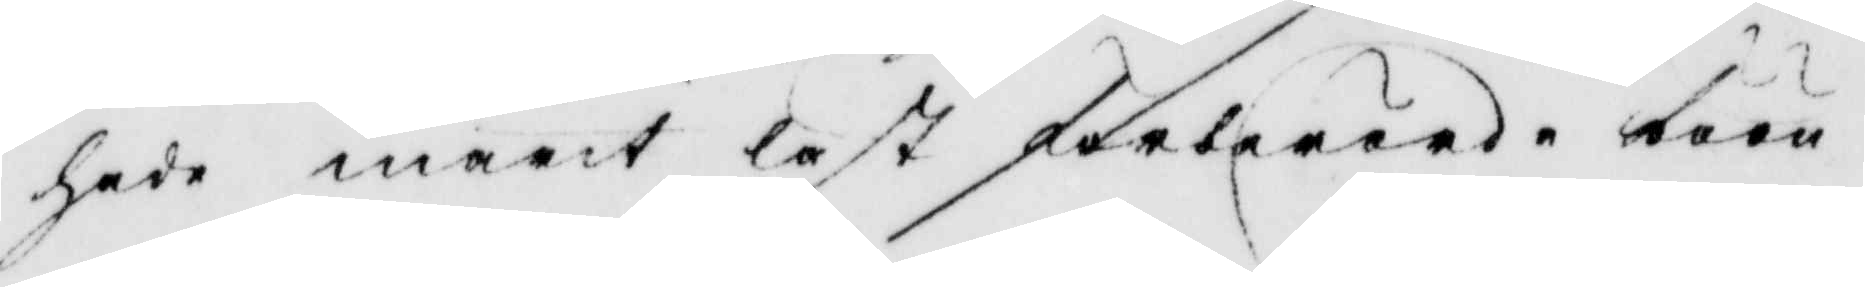hade marit läst förberörde böön.
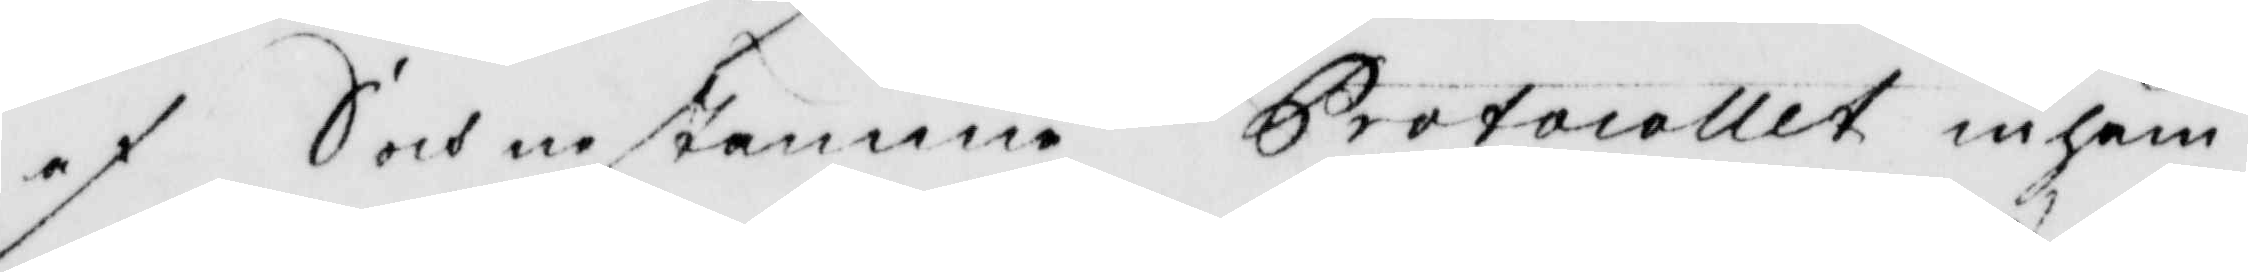af Sochnestämme Protocollet inhäm¬
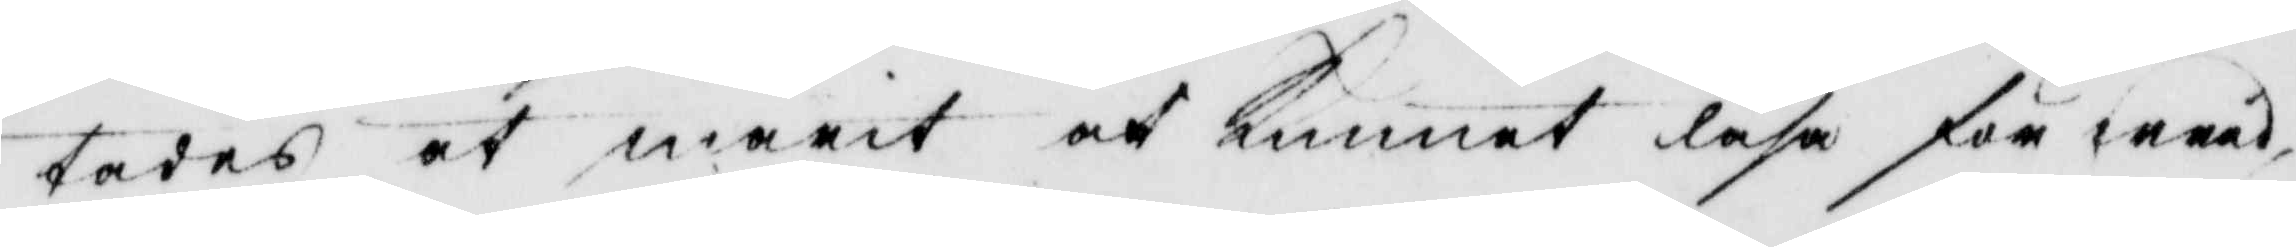tades at marit och kunnat läsa för wärd
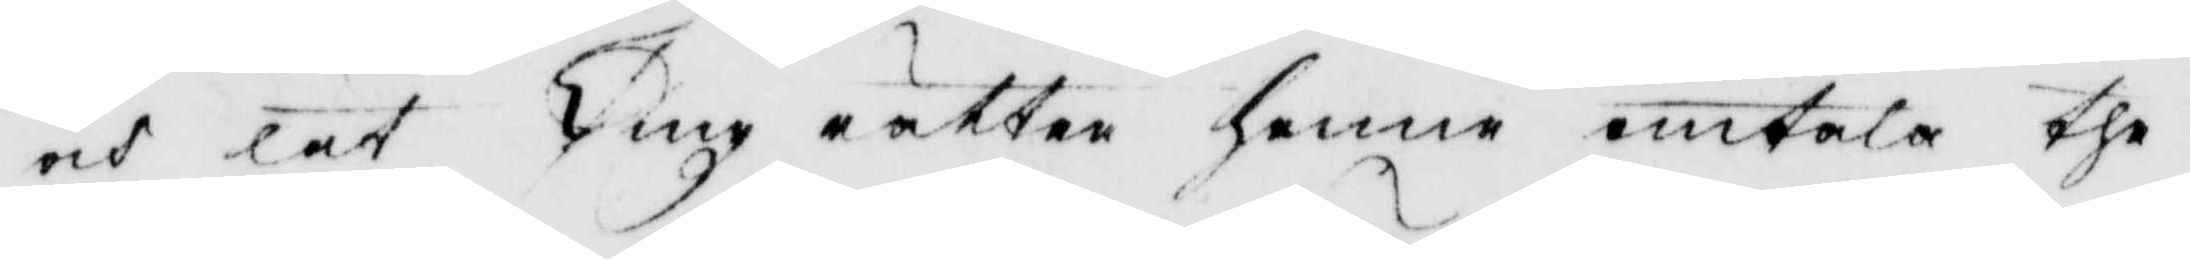och lät Ting rätten henne omtala the
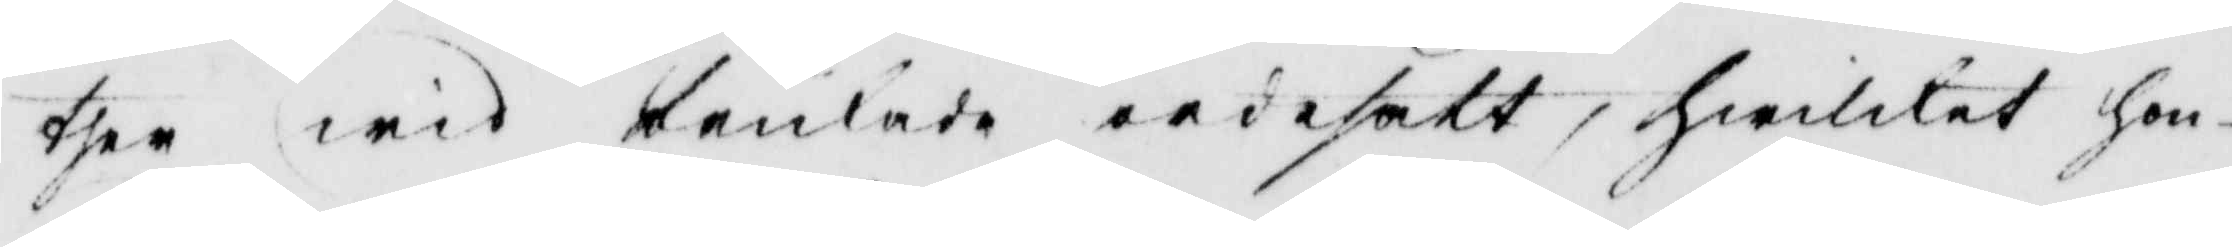ther wid brukade ordesökt, hwilket hon
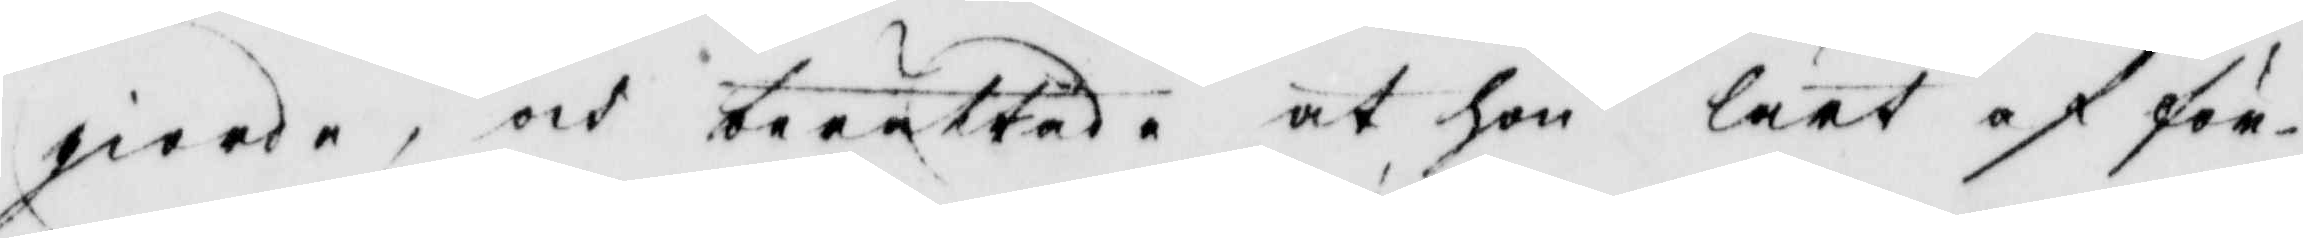giorde, och berättade at hon lärt af för¬
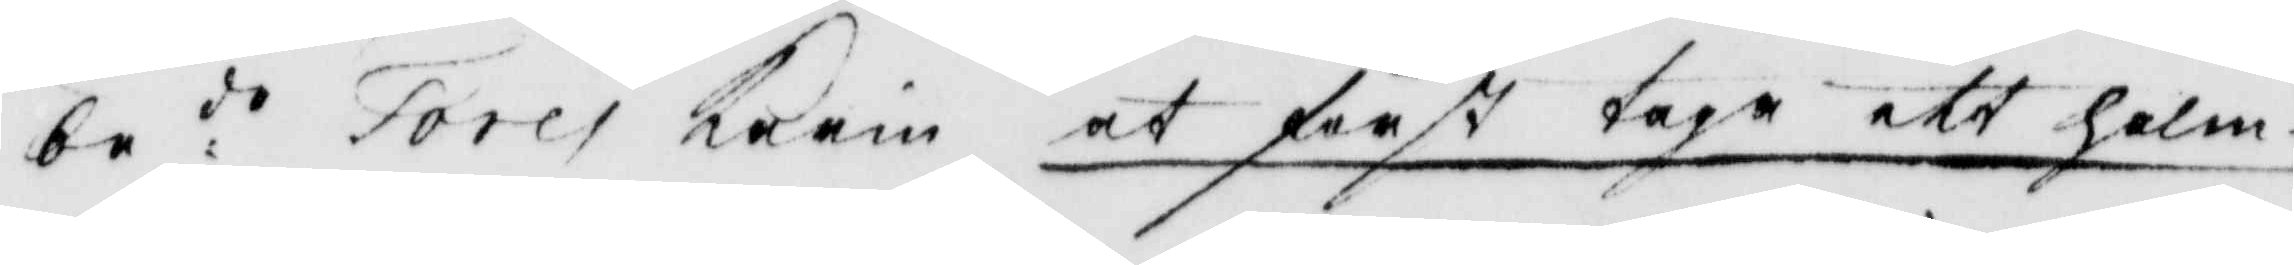be:de Tores Karin at först taga ett halm¬
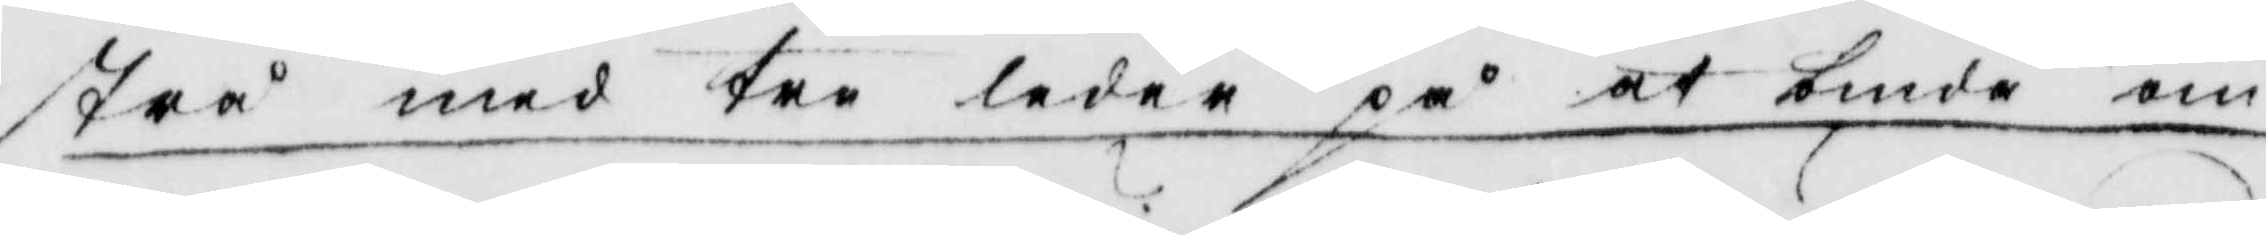strå med tre leder på at binda om
